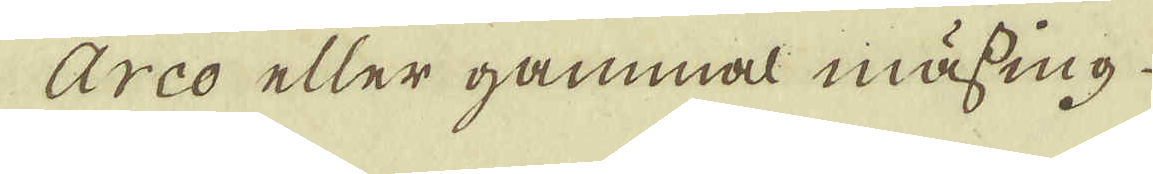Arco eller gammal mässing
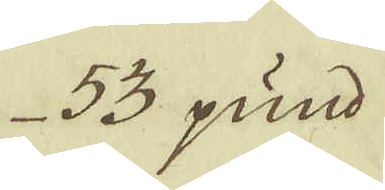53 pund
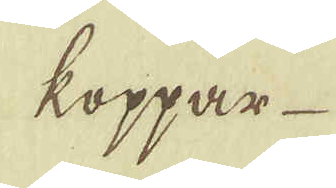koppar
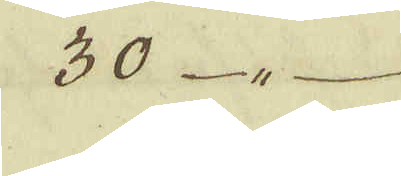30 - " -
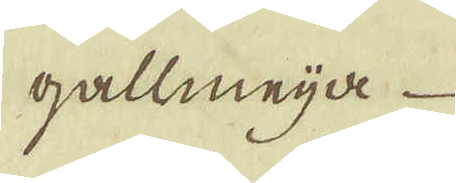gallmeija
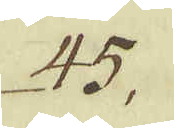45.
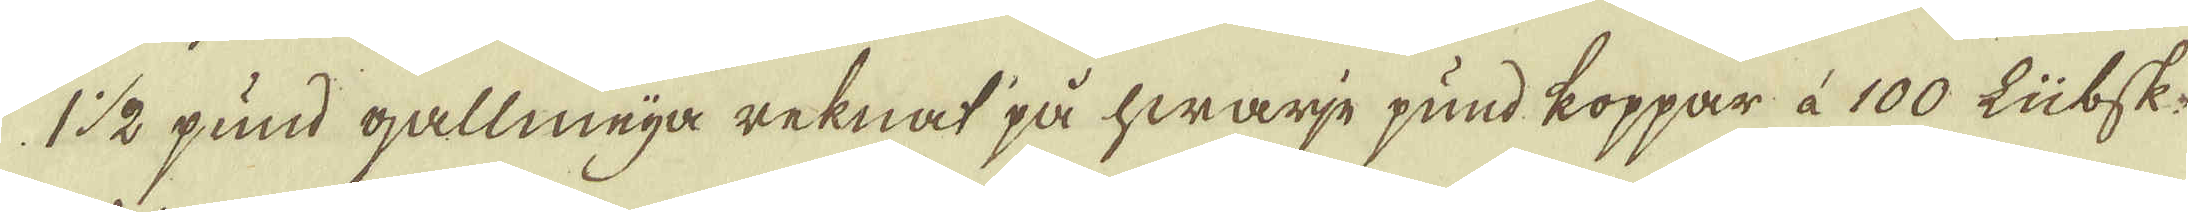1 1/2 pund gallmeija reknat på hwarje pund koppar à 100 Lübsk.
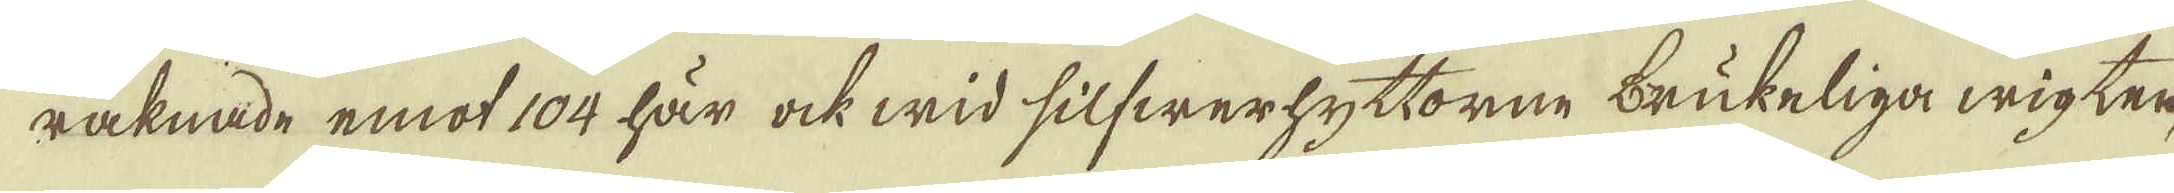räknande emot 104 här ock wid silfwerhyttorne brukeliga wigter
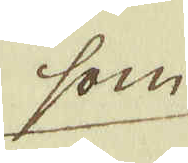som
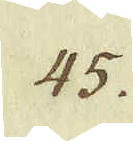45.
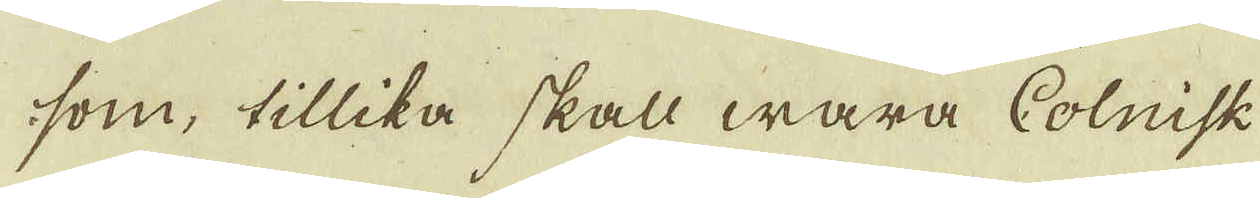som, tillika skall wara Colnisk.
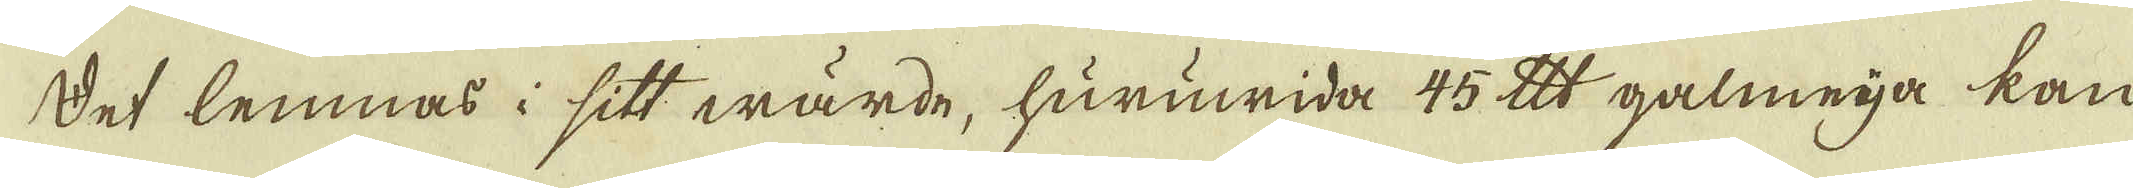Det lemnas i sitt wärde, huruwida 45 lispund galmeija kan
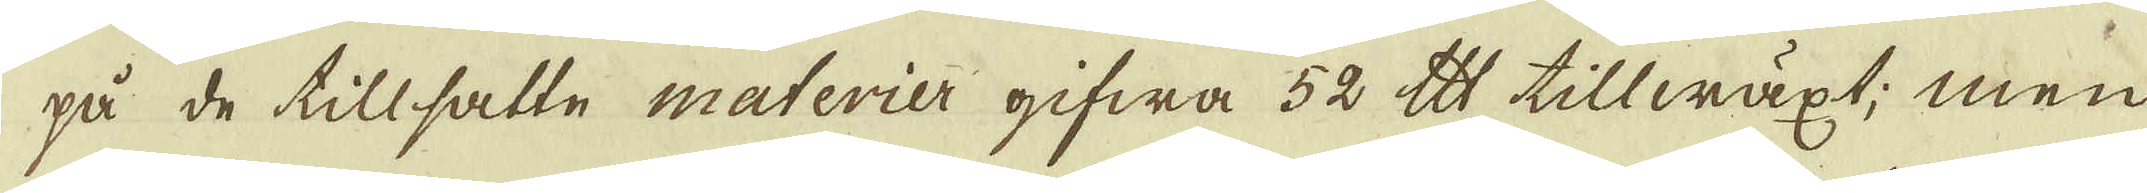på de tillsatte materier gifwa 52 lispund tillwäxt; men
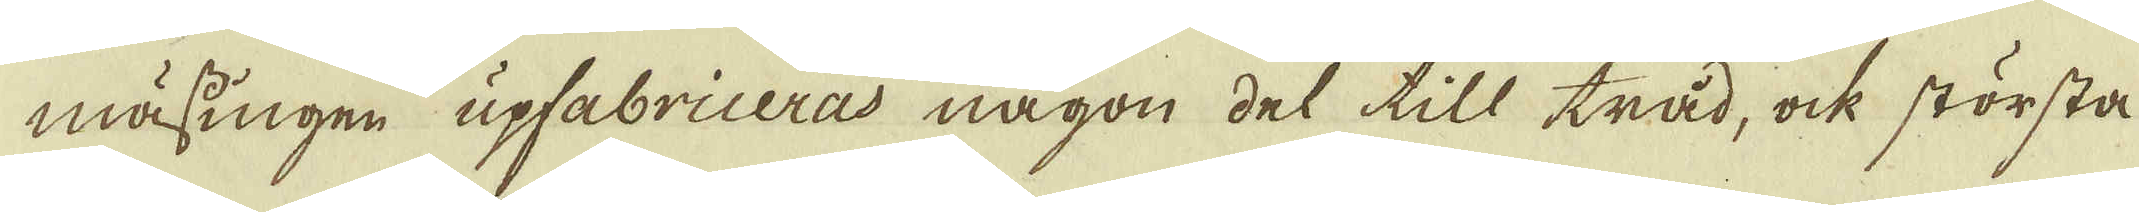mässingen upfabriceras någon del till tråd, ock största
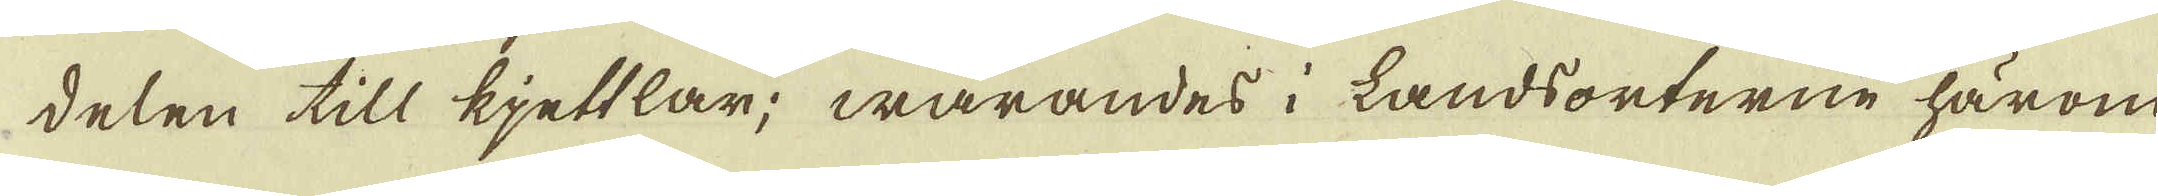delen till kjettlar; warandes i Landsorterne härom-
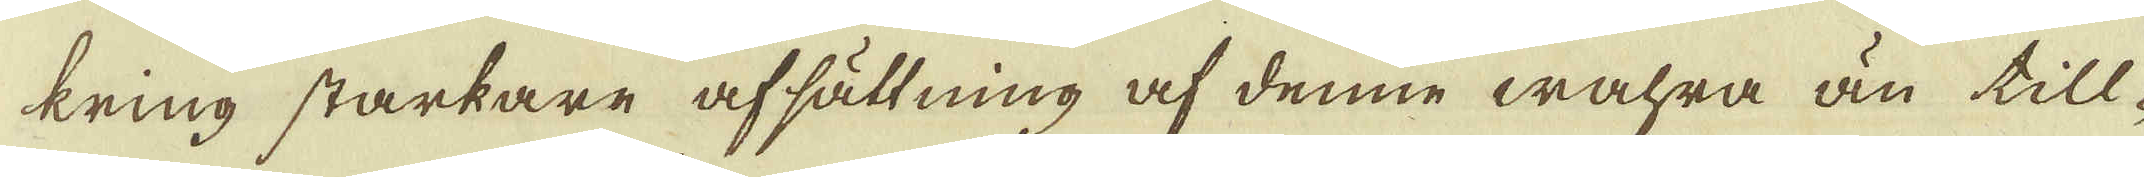kring starkare afsättning af denne wahra än till-
